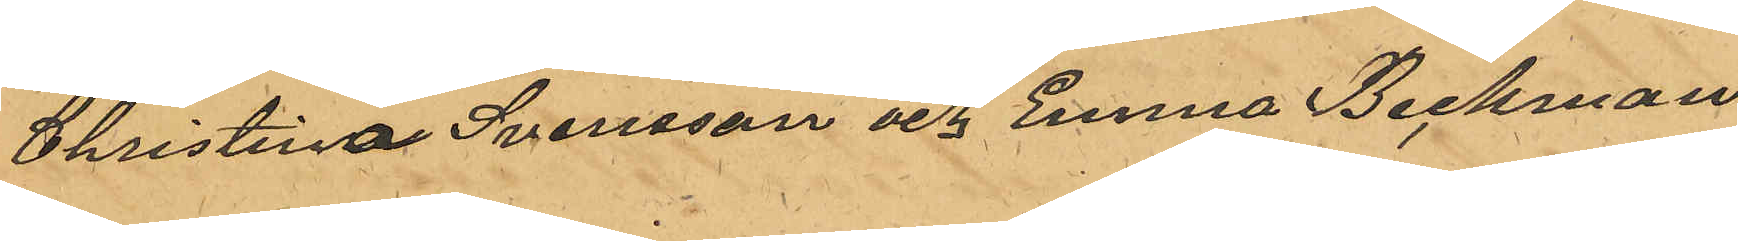Christina Svensson och Emma Beckman
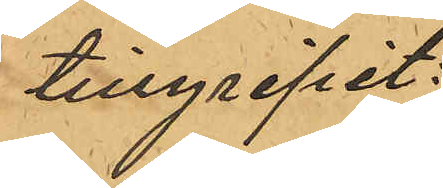tillgripit:
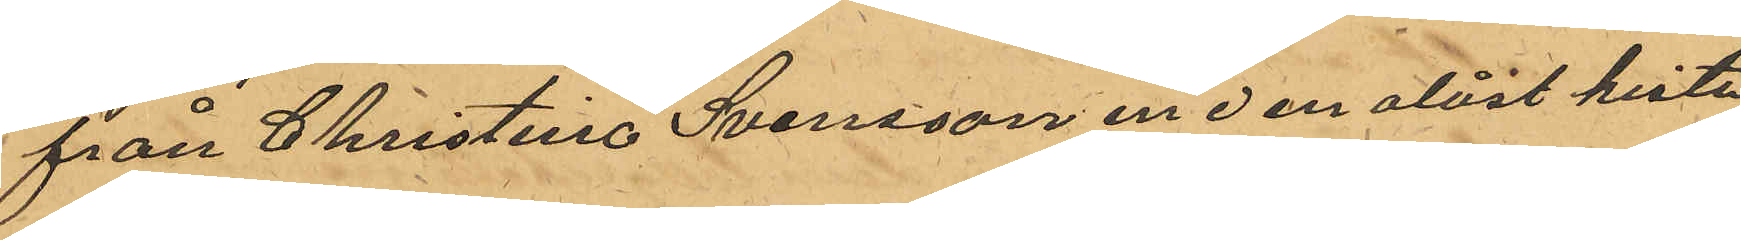från Christina Svensson en i en olåst kista
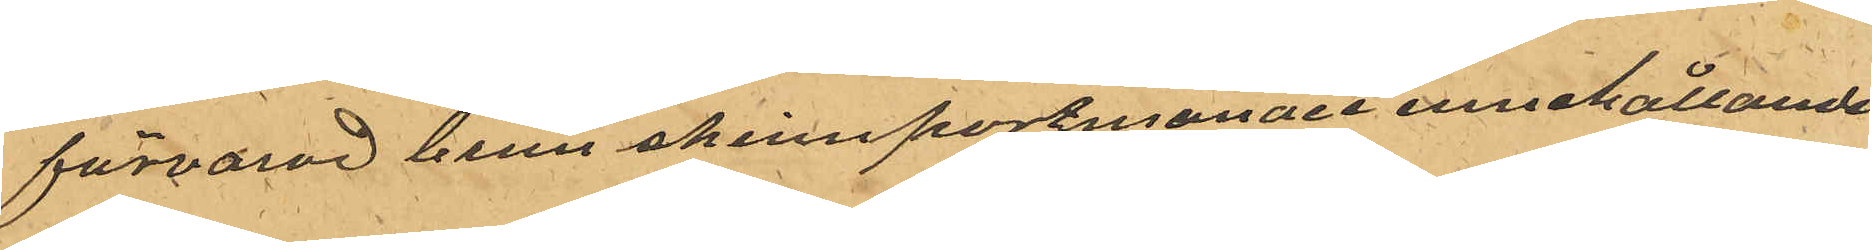förvarad brun skinnportmonaie innehållande
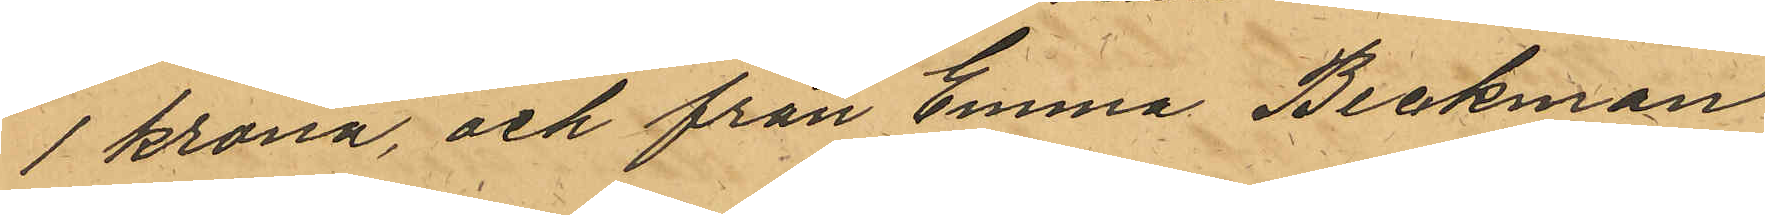1 krona, och från Emma Beckman
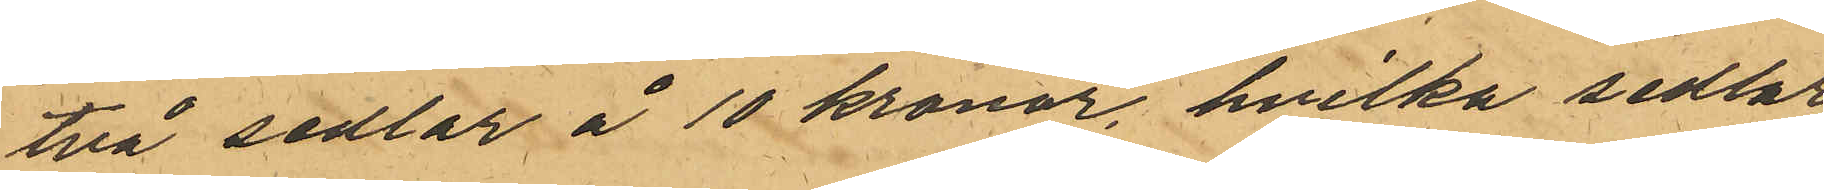två sedlar å 10 kronor, hvilka sedlar
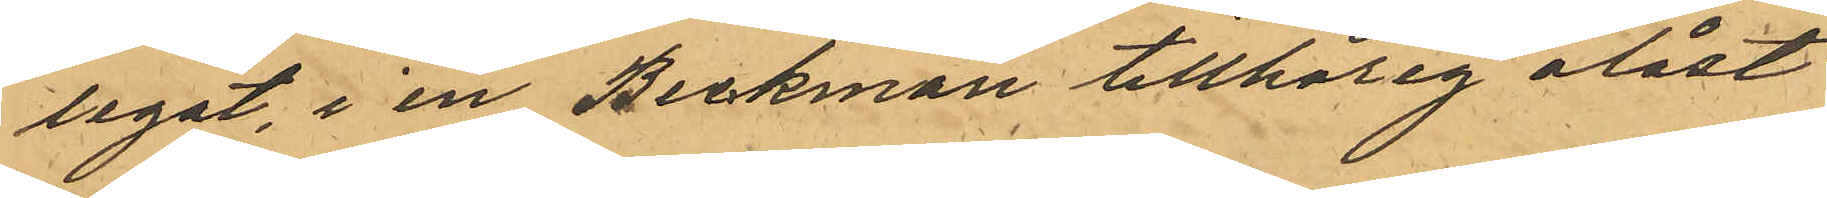legat, i en Beckman tillhörig olåst
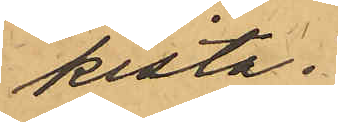kista.
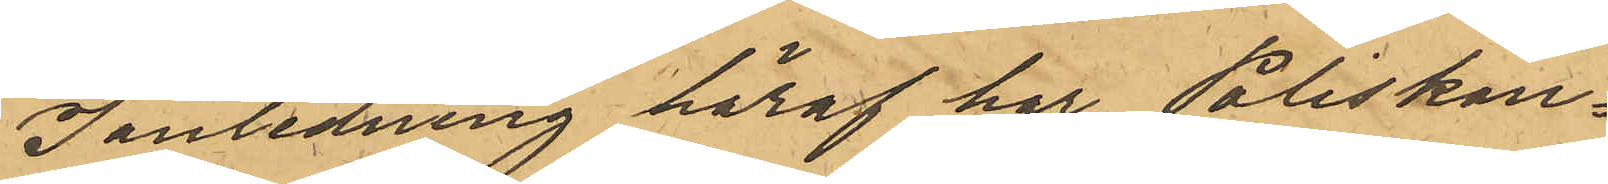I anledning häraf har Poliskon¬
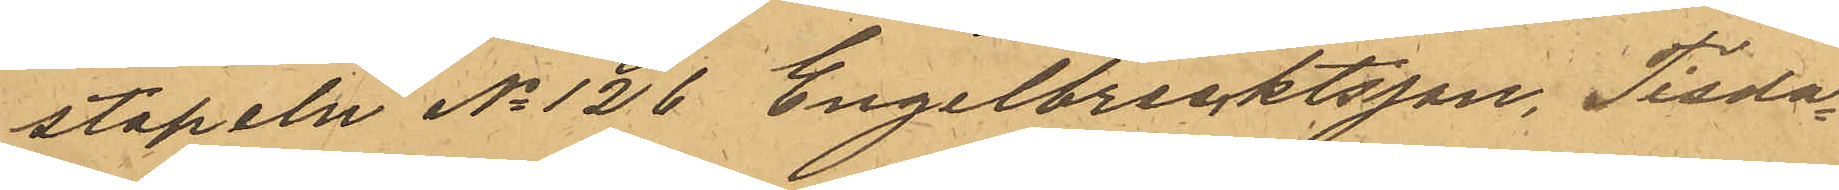stapeln No 126 Engelbrecktsson, Tisda¬
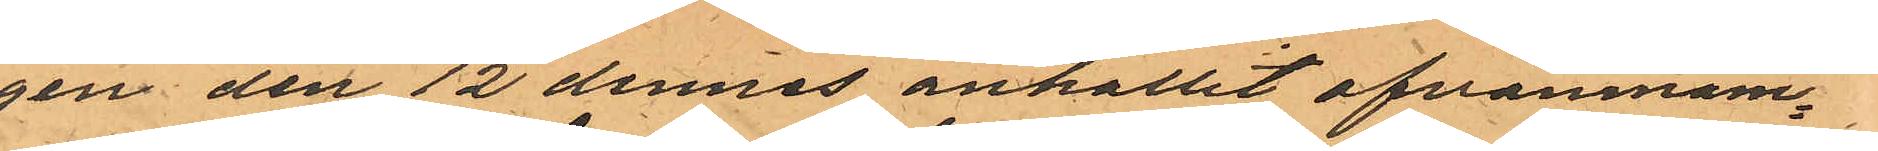gen den 12 dennes anhållit ofvannäm¬
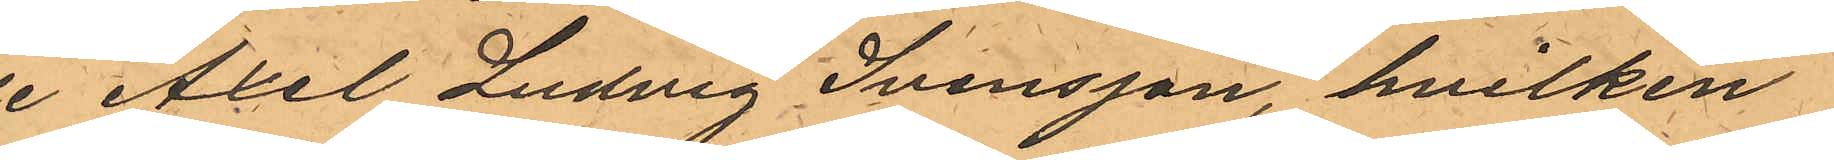de Axel Ludvig Svensson, hvilken
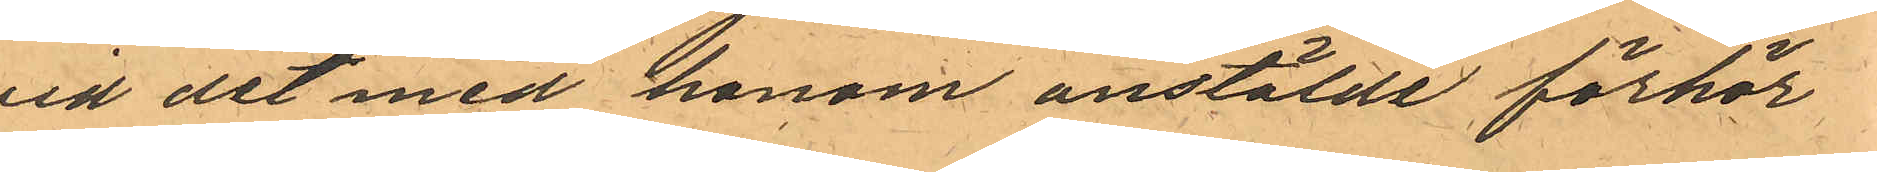vid det med honom anstälde förhör
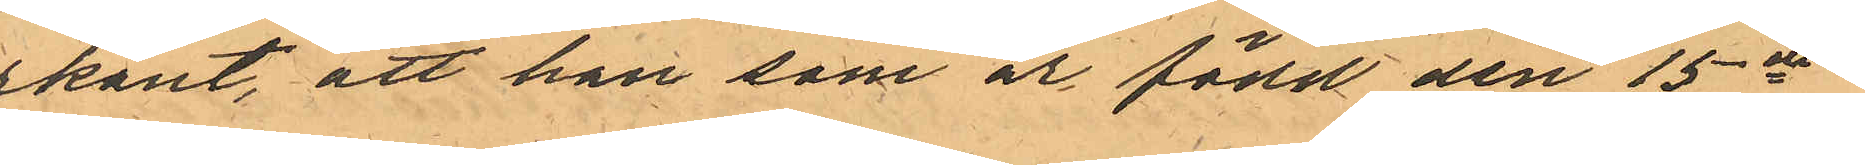erkänt, att han som är född den 15de
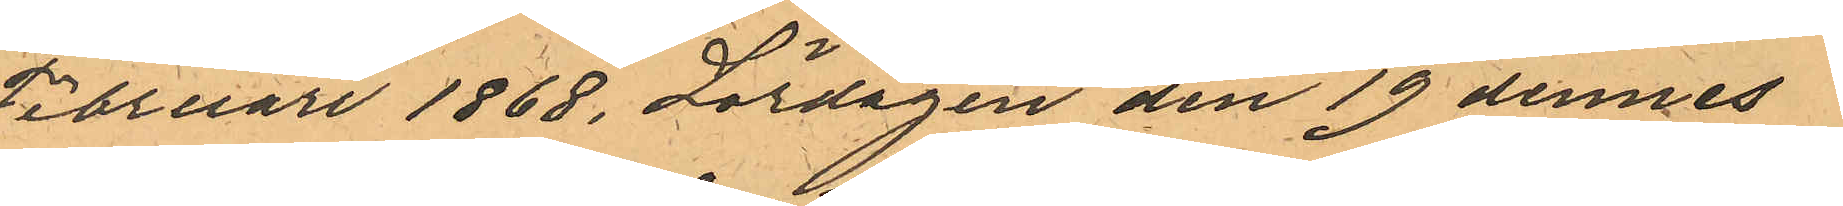Februari 1868, Lördagen den 19 dennes
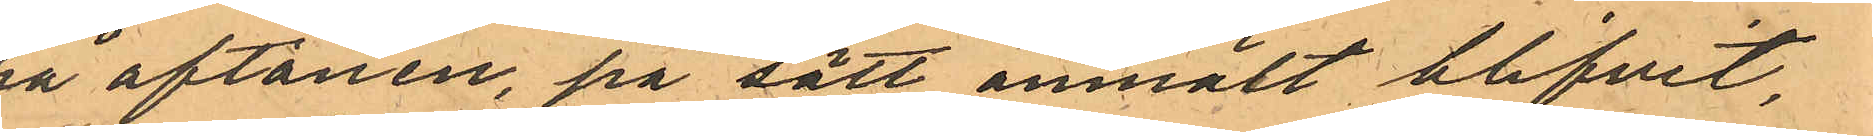på aftonen, på sätt anmält blifvit
